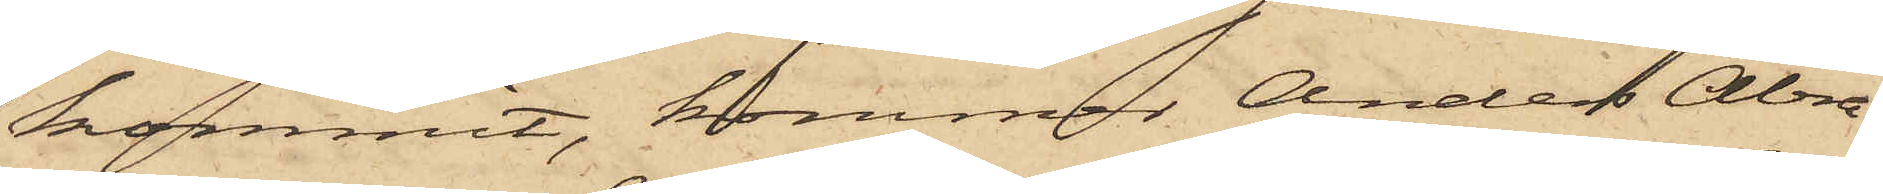kommit, kommer Anders Abra¬
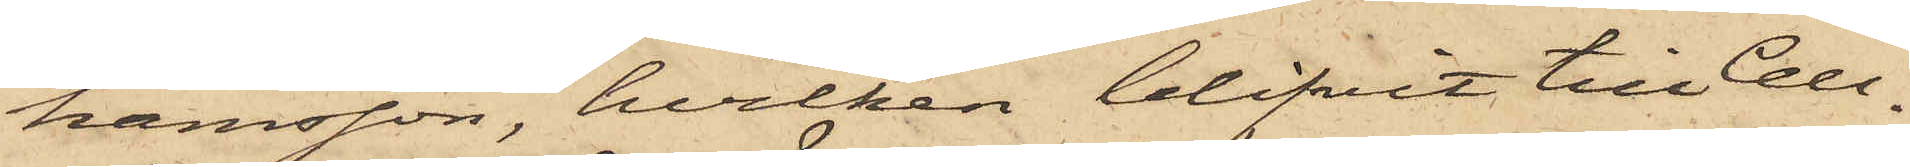hamsson, hvilken blifvit till Cell¬
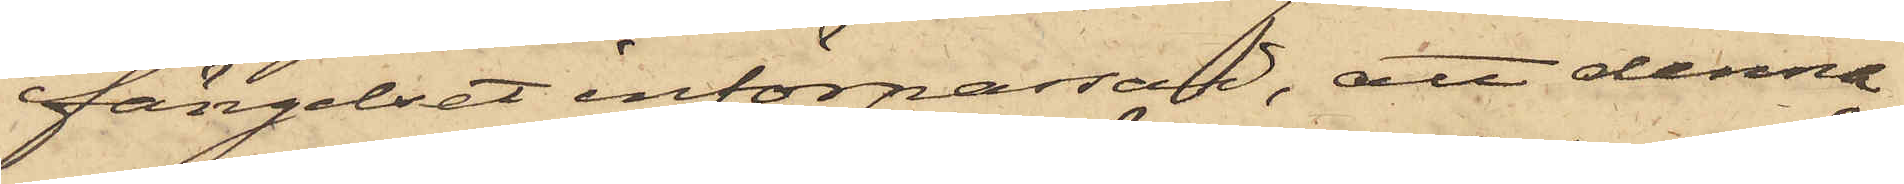fängelset införpassad, att denna
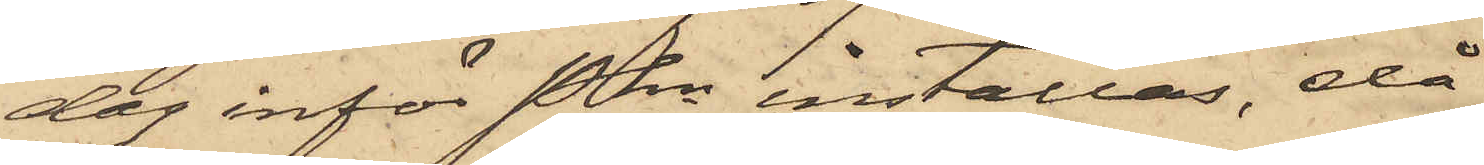dag inför Pkn inställas, då
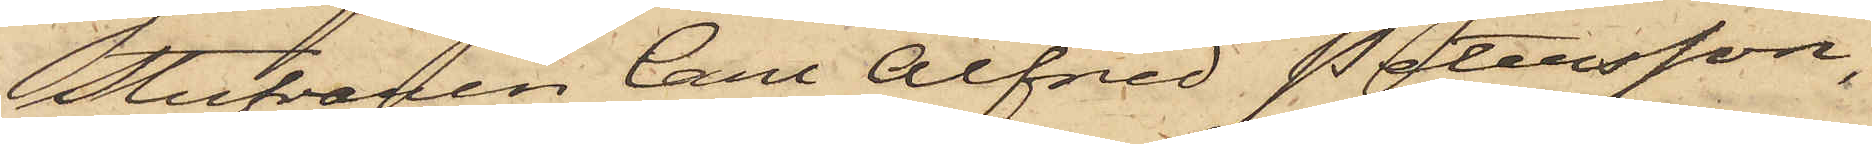Stufvaren Carl Alfred Petersson,
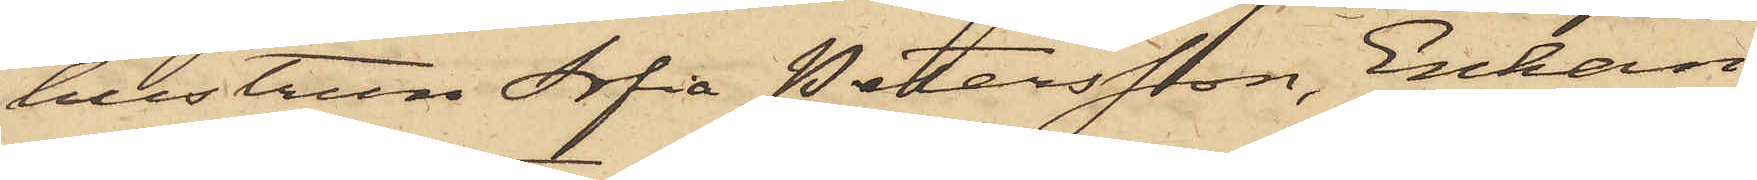hustrun Sofia Peterssson, Enkan
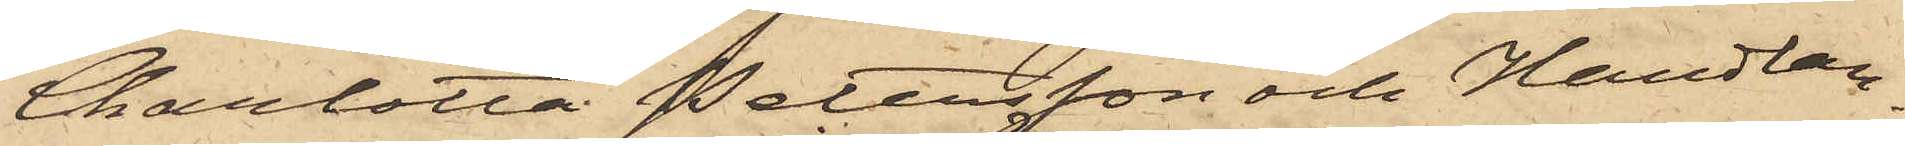Charlotta Petersson och Handlan¬
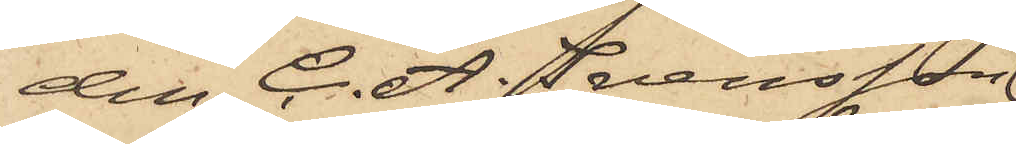den C. A. Svensson
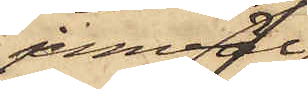jemväl
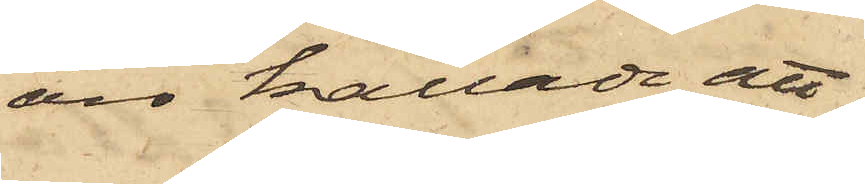äro kallade att
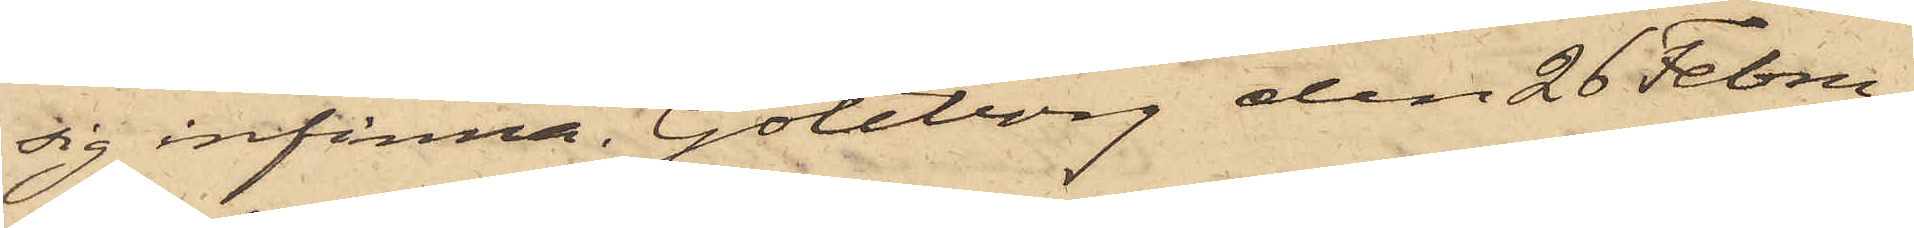sig infinna. Göteborg den 26 Febru¬
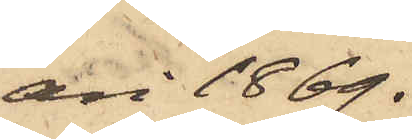ari 1869.
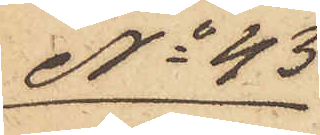No 43
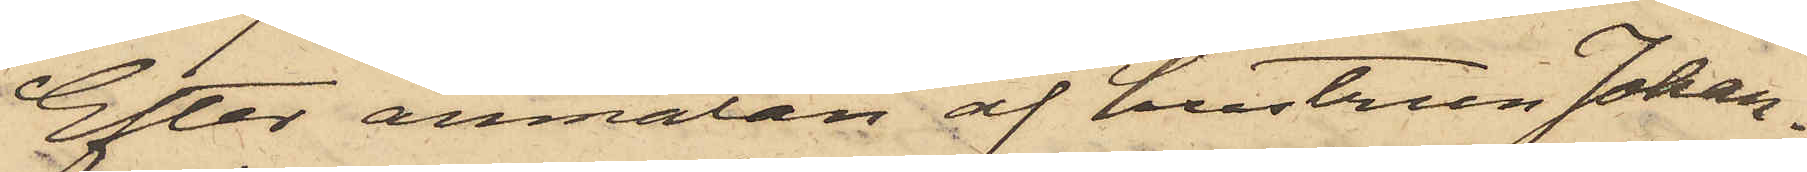Efter anmälan af hustrun Johan¬
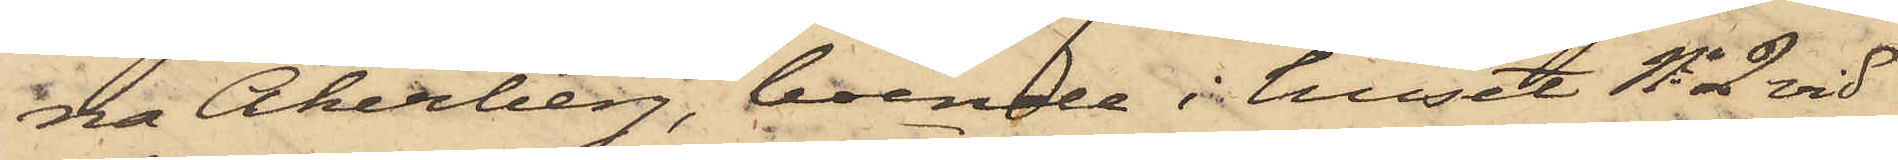na Åkerberg, boende i huset No 2 vid
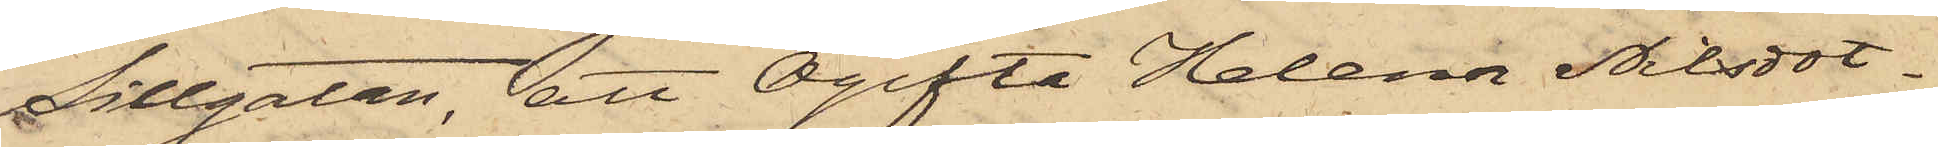Sillgatan, att Ogifta Helena Nilsdot¬
